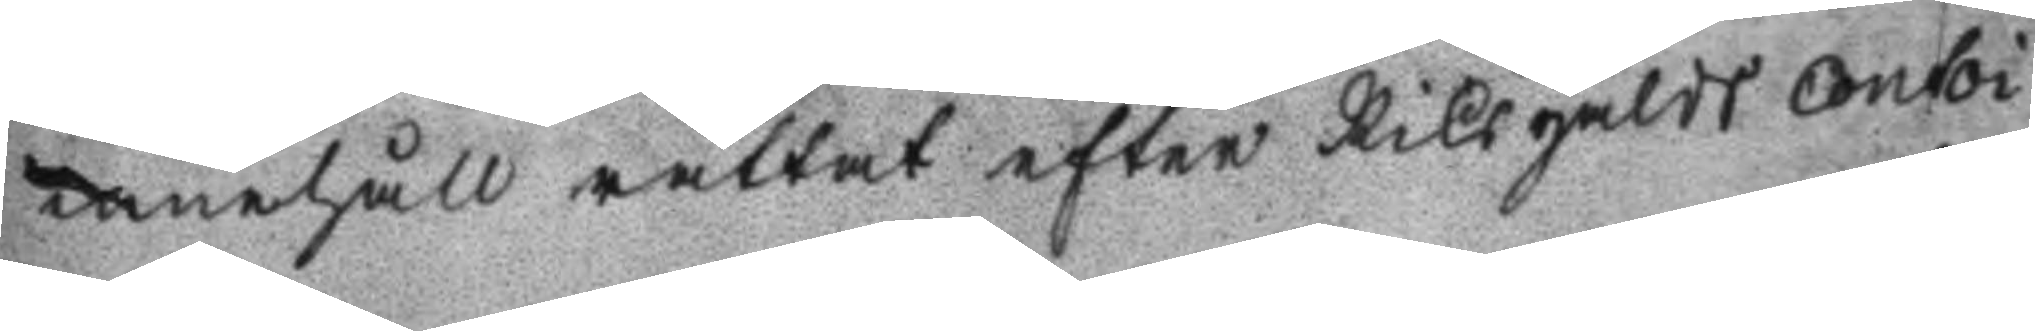innehåll rättat efter Riksgälds Contoi¬
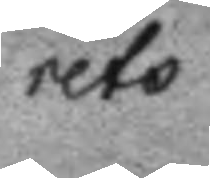rets
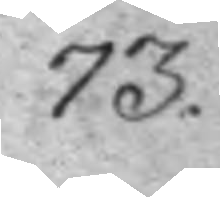73.
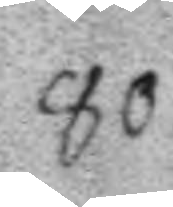80.
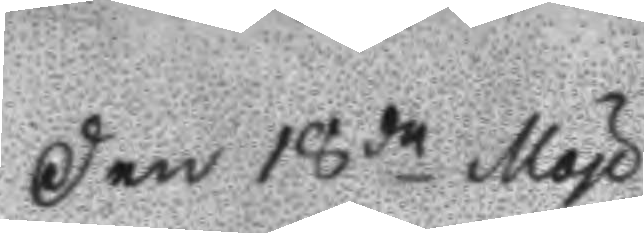Den 18de May
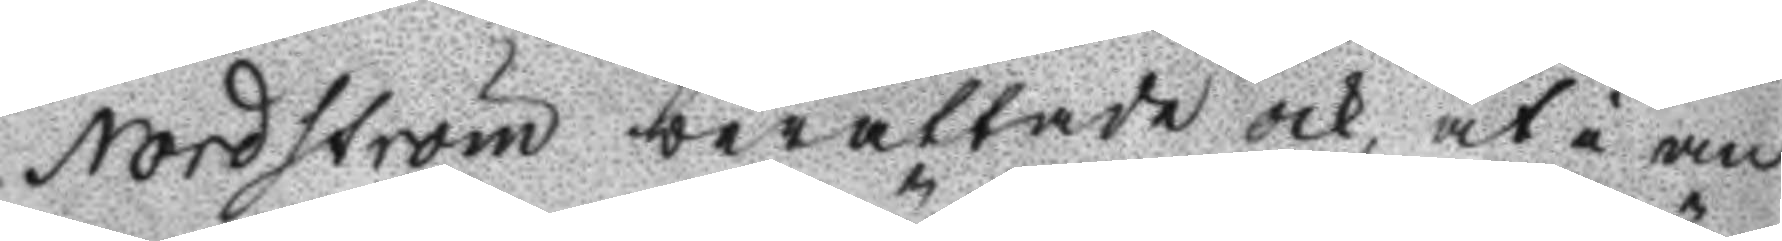Nordström berättade och at i an
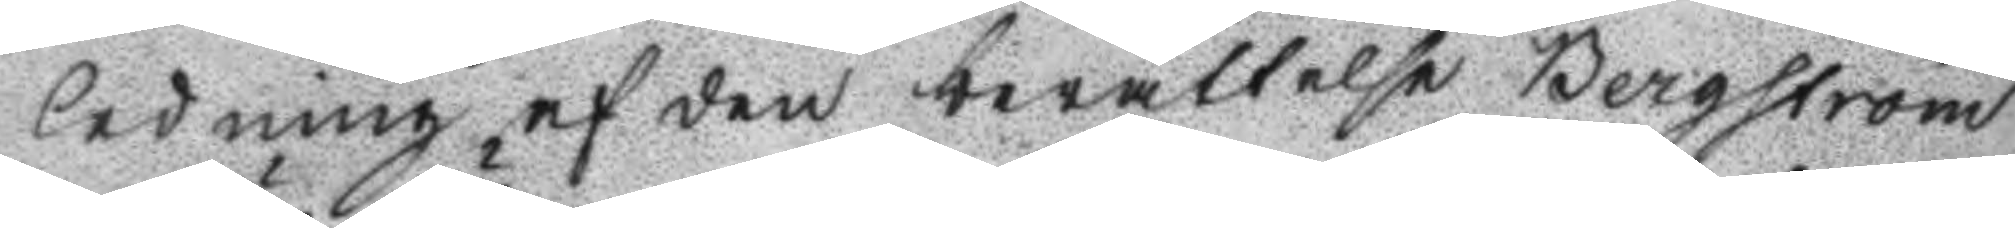ledning af den berättelse Bergström
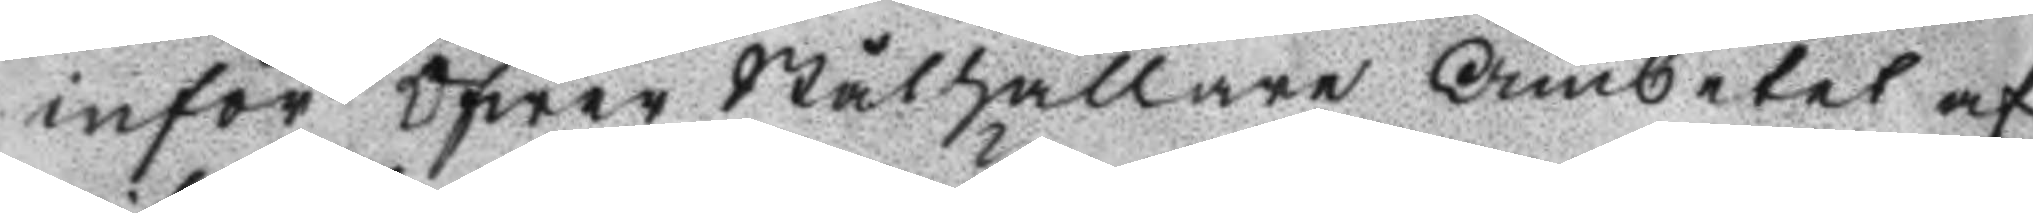inför Öfwer Ståthållaren Ämbetet af
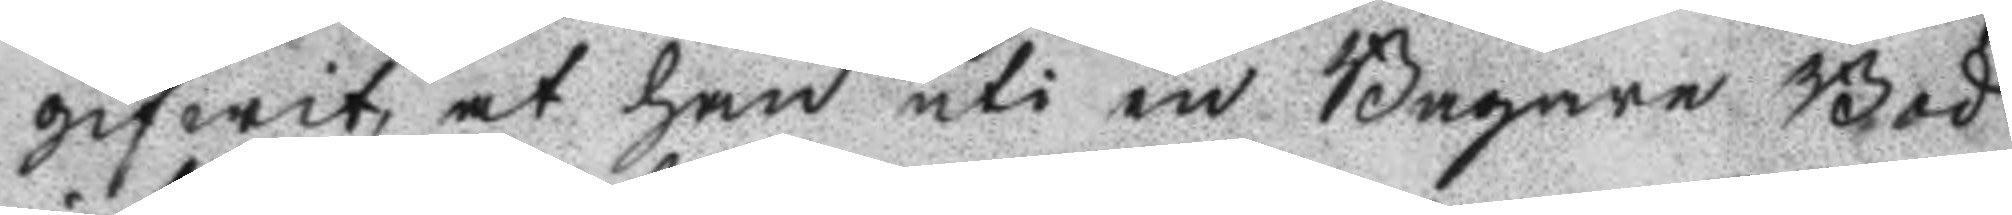gifwit, at han uti en Bagare Bod
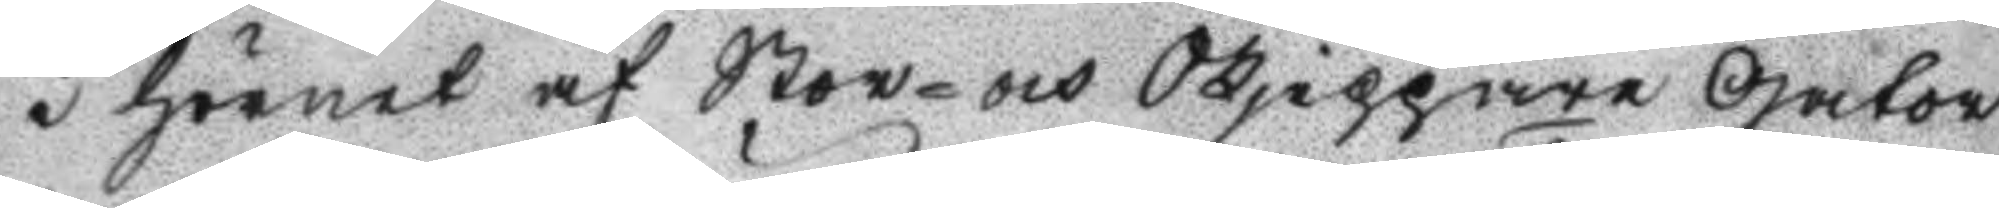i hörnet af Stor- och Skjeppare Gator
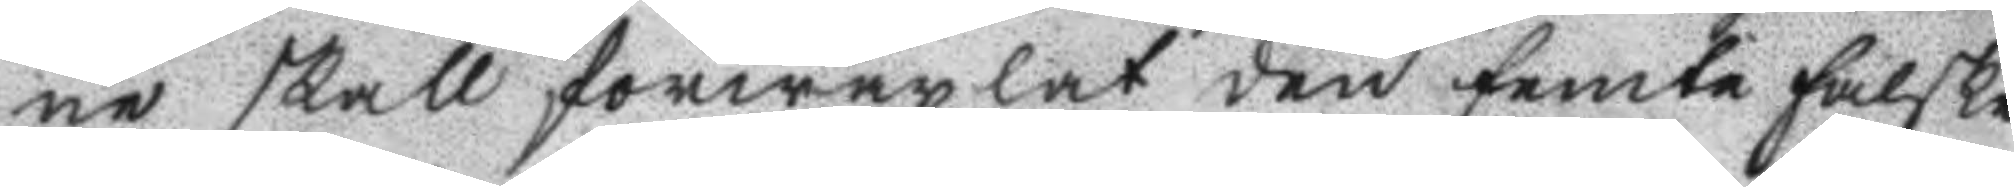ne skall förwäxlat den femte falske
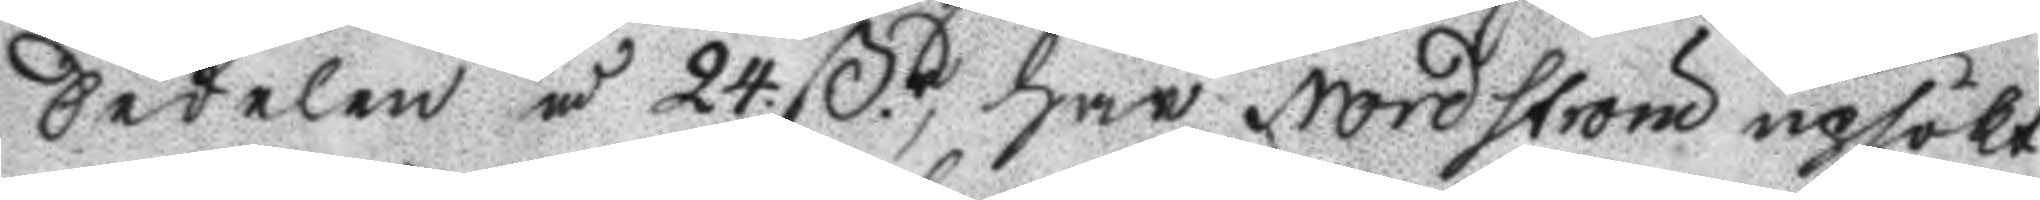Sedelen å 24. ßr, har Nordström upsökt
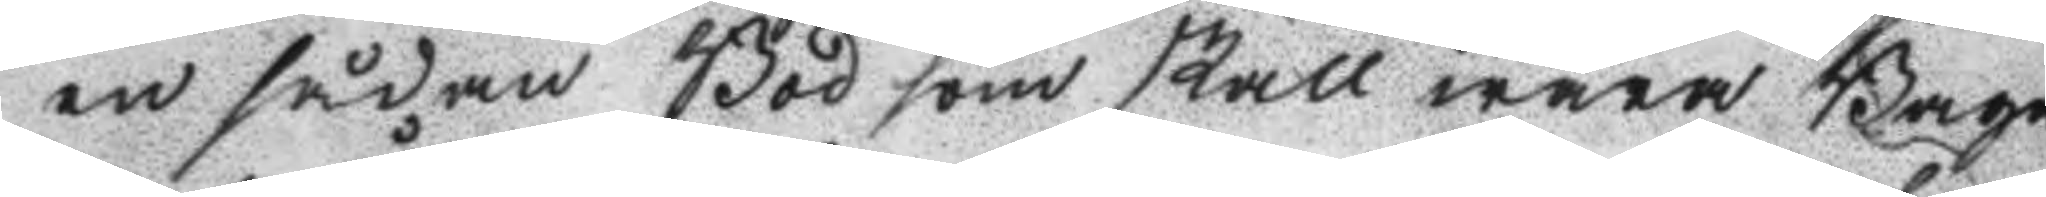en sådan Bod som skall wara Baga
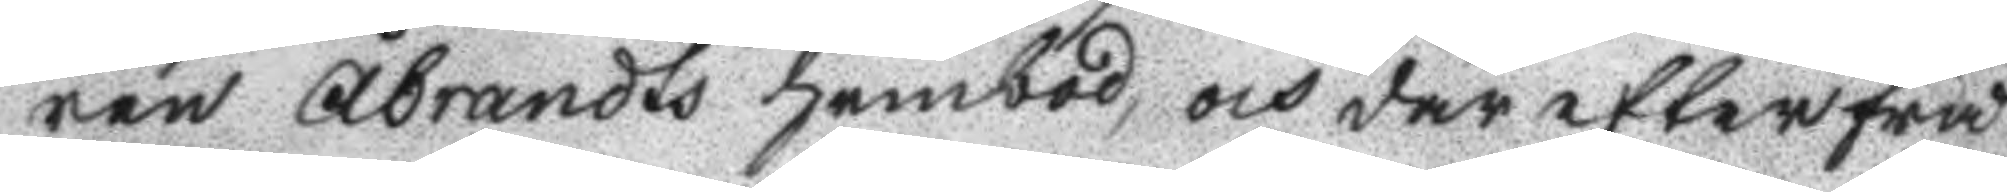ren Åbrandts hembod, och där efterfrå
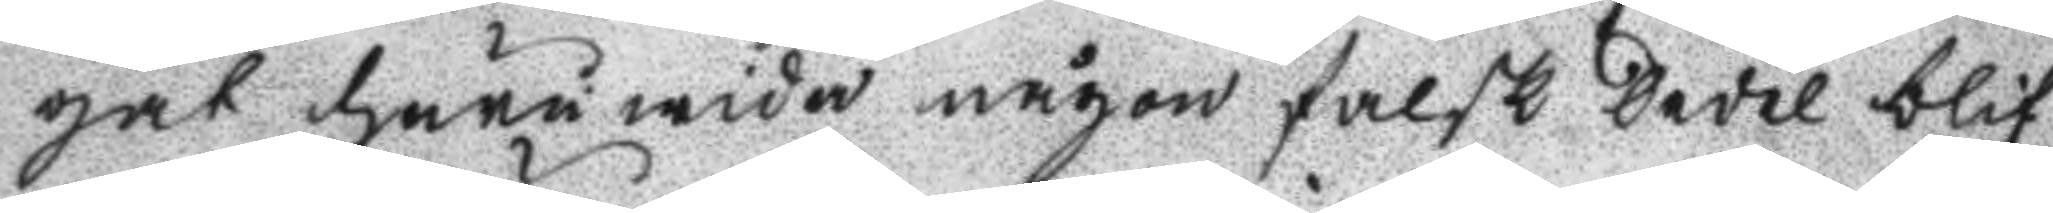gat huruwida någon falsk Sedel blif
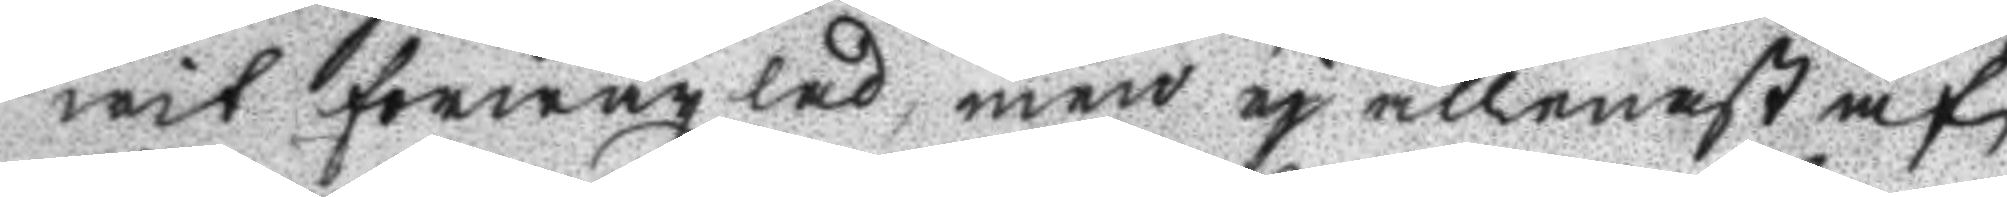wit förwäxlad, men ej allenast af
